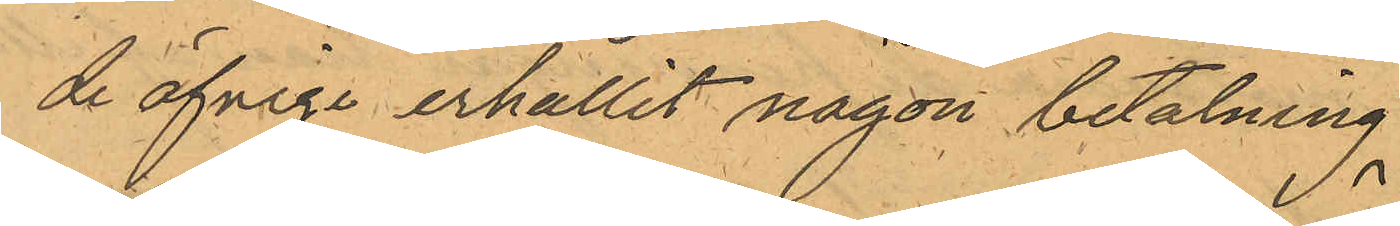de öfriga erhållit någon betalning
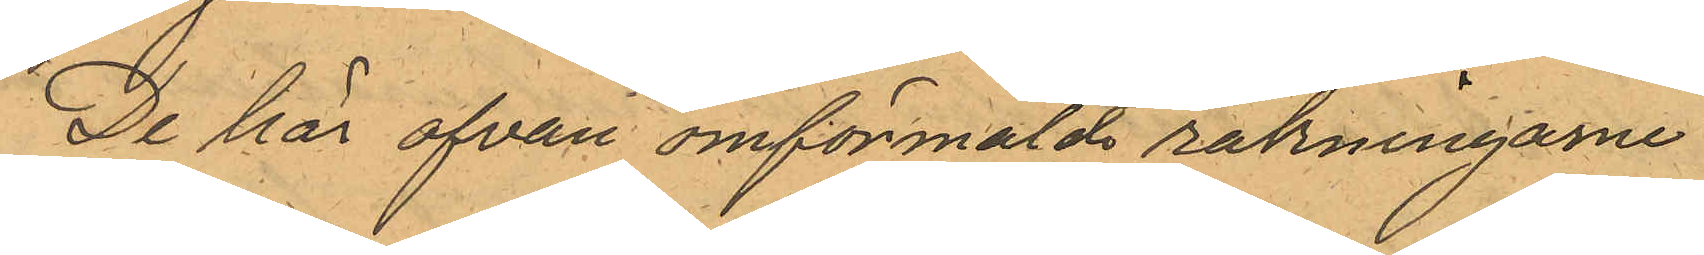De här ofvan omförmälde räkningarne
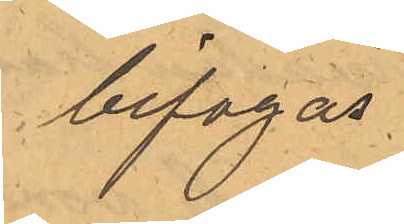bifogas
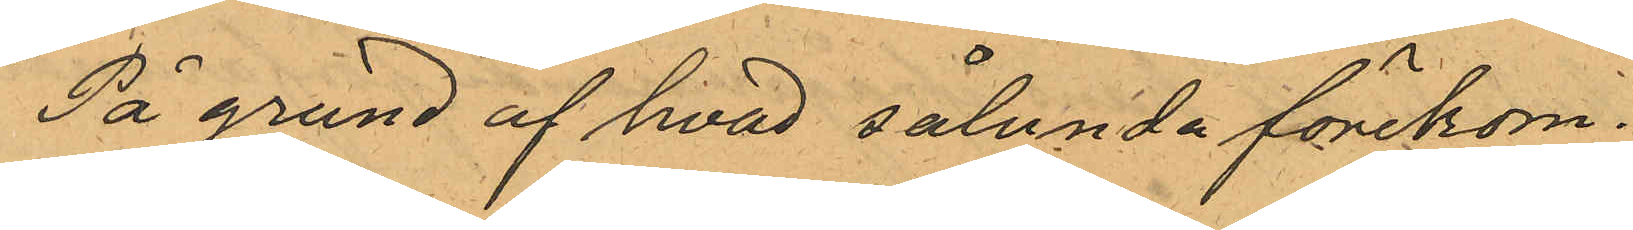På grund af hvad sålunda förekom¬
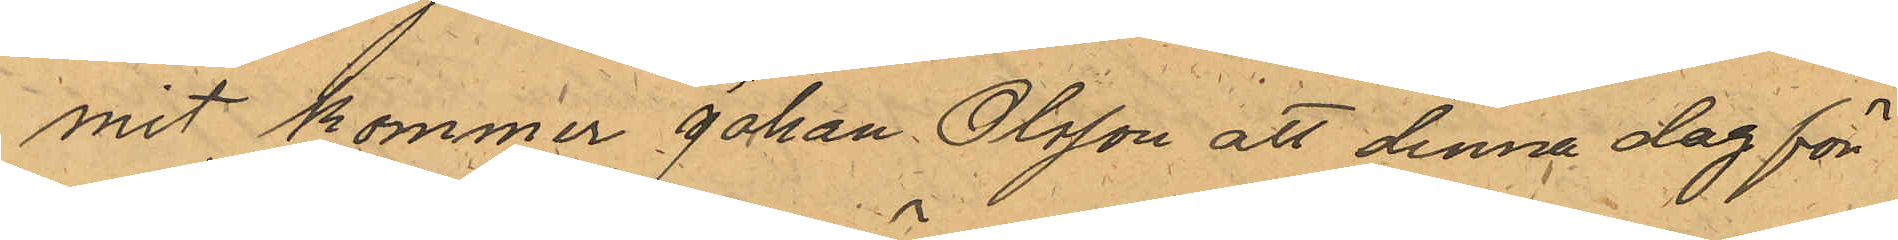mit, kommer Johan Olsson att denna dag för
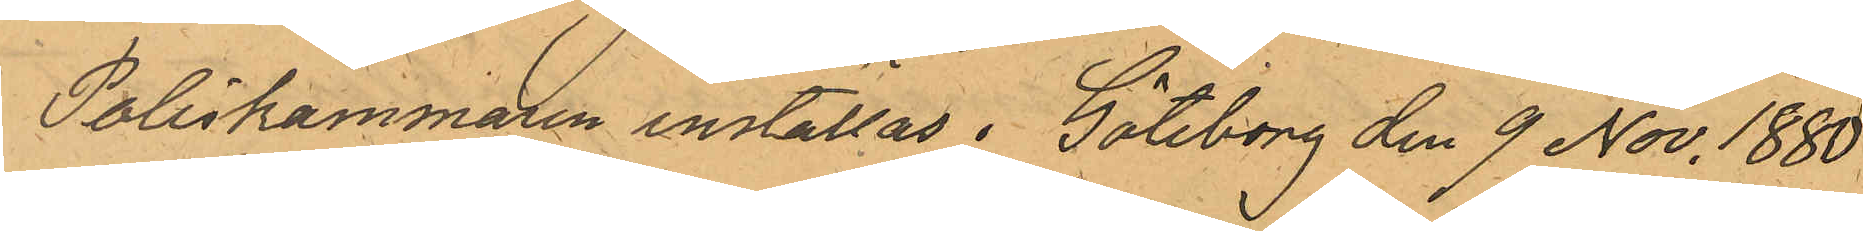Poliskammaren inställas. Göteborg den 9 Nov. 1880.
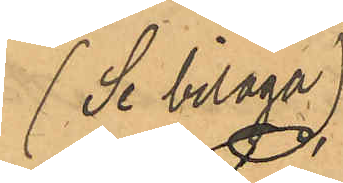(Se bilaga)
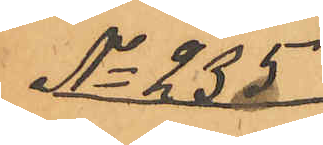No 235
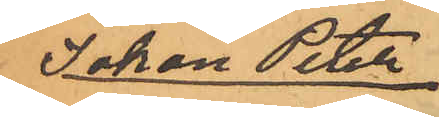Johan Peter
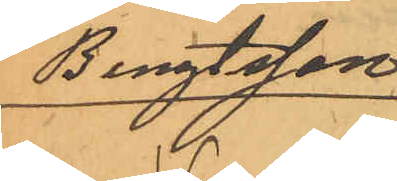Bengtsson
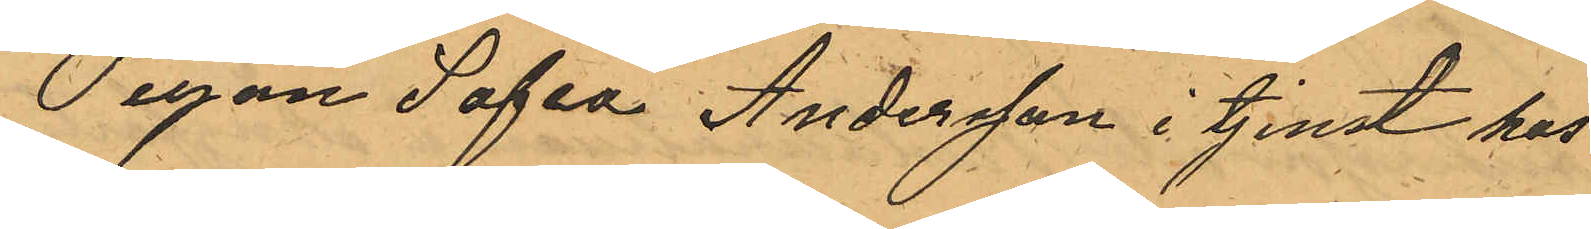Pigan Sofia Andersson i tjenst hos
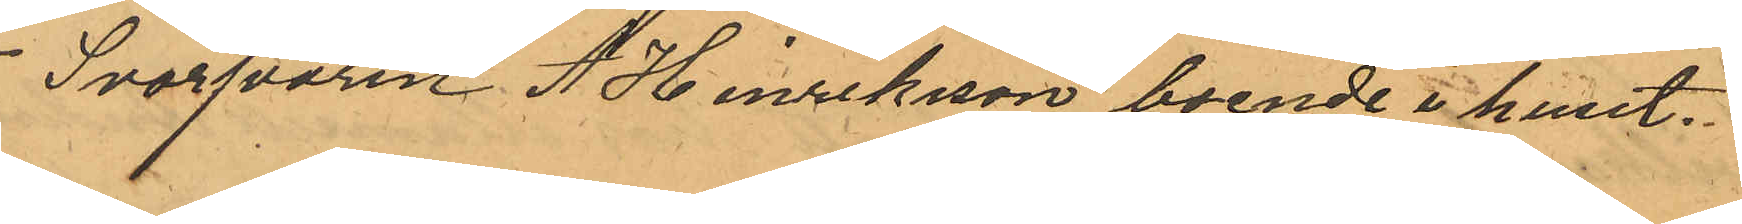Svarfvaren A Hinriksson boende i huset.
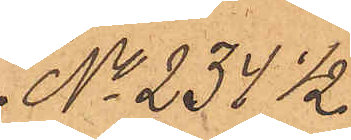No 234 1/2.
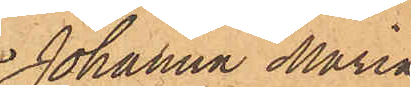Johanna Maria
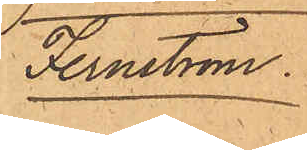Fernström.
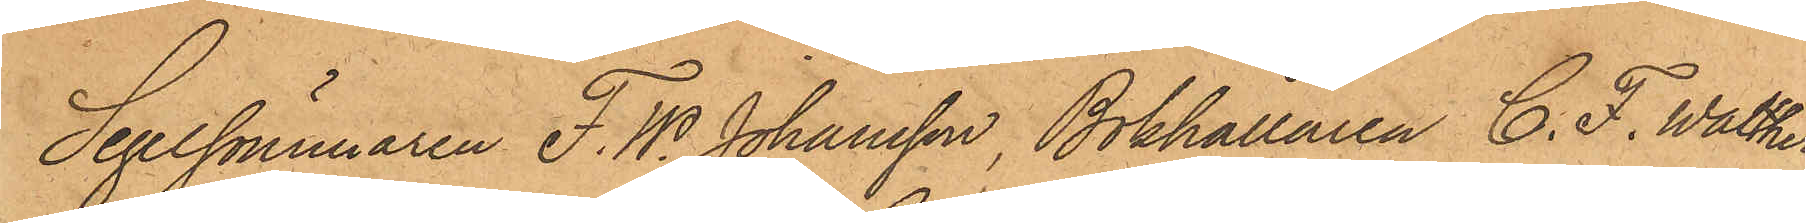Segelsömmaren F. W. Johansson, Bokhållaren C. F. Walther
